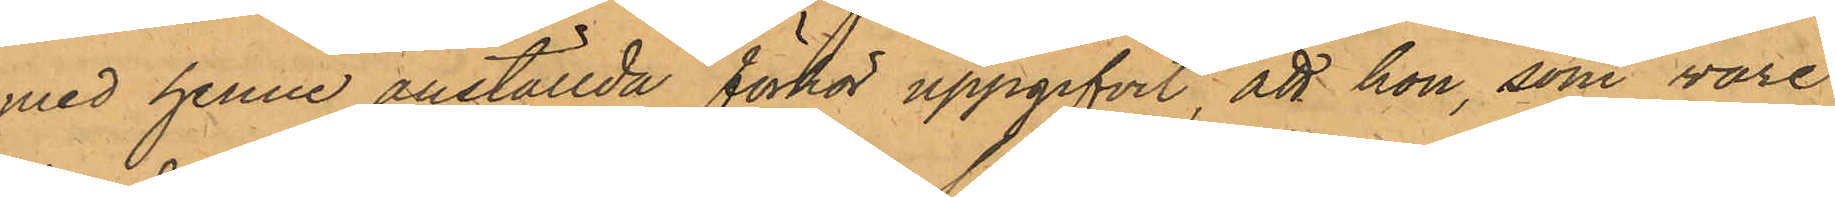med henne anställda förhör uppgifvit, att hon, som vore
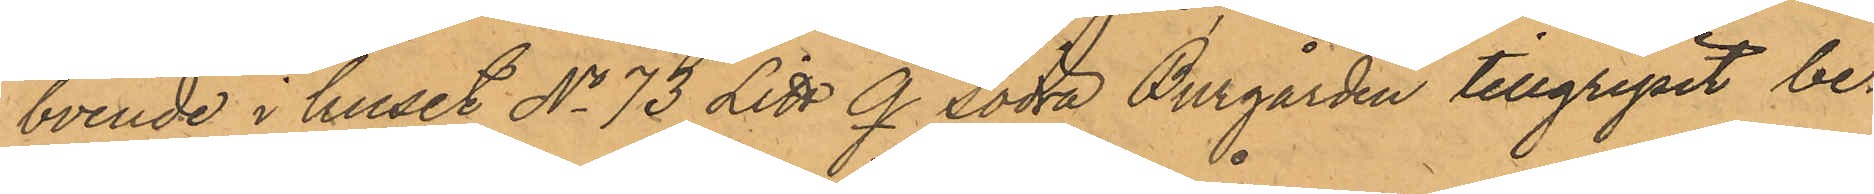boende i huset No 73 Litt Q. Södra Burgården tillgripit be¬
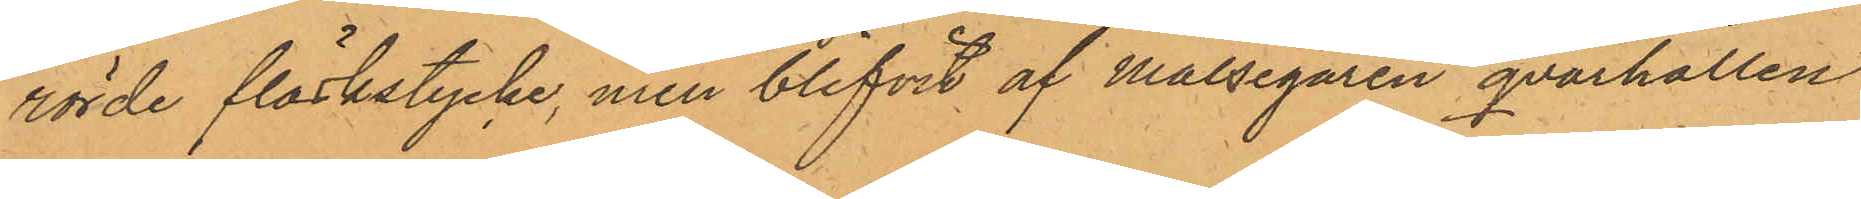rörde fläskstycke, men blifvit af Målsegaren qvarhållen
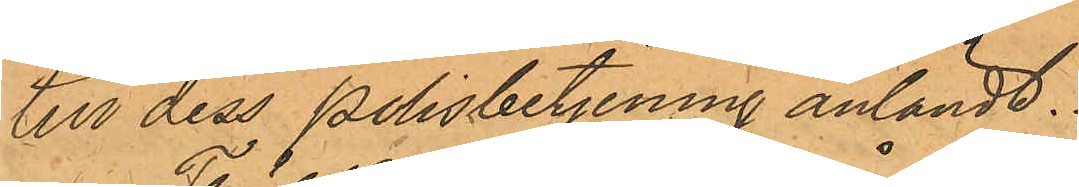till dess Polisbetjening anländt.
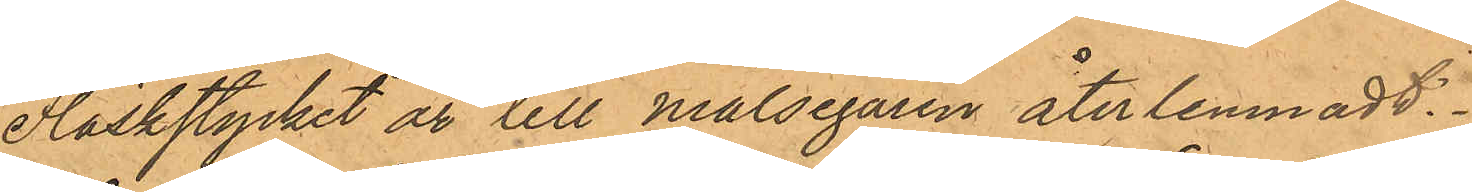Fläskstycket är till Målsegaren återlemnadt.
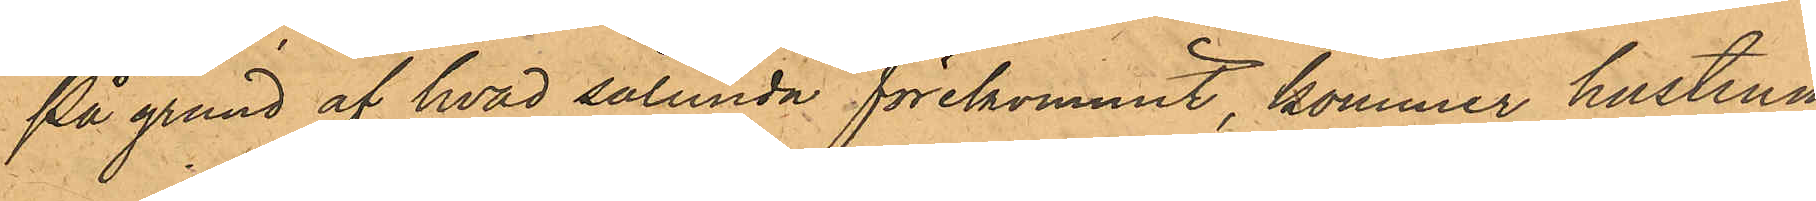På grund af hvad sålunda förekommit, kommer hustrun
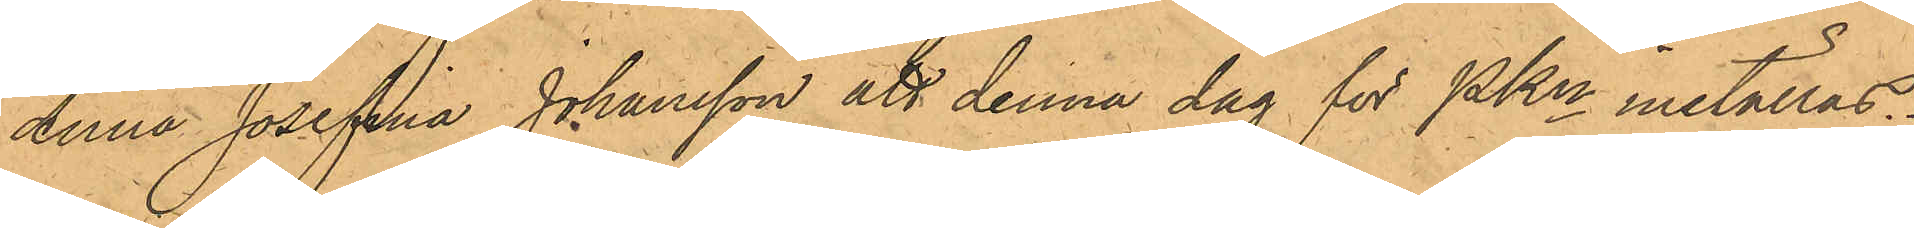Anna Josefina Johansson att denna dag för PKn inställas.
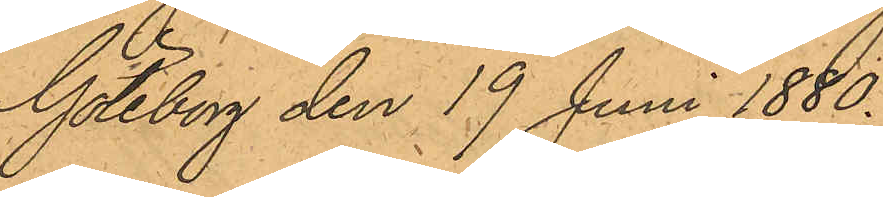Göteborg den 19 Juni 1880.
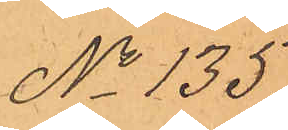No 135.
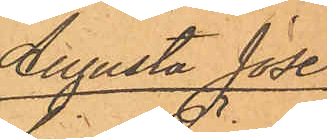Augusta Jose¬
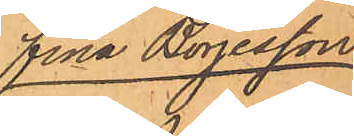fina Börjesson
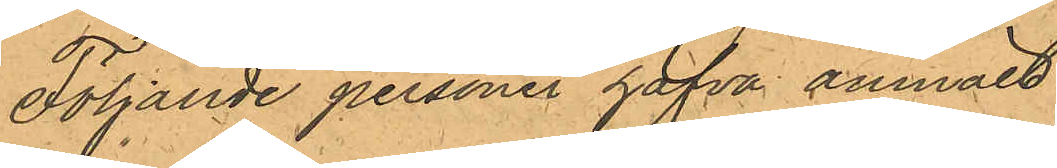Följande personer hafva anmält:
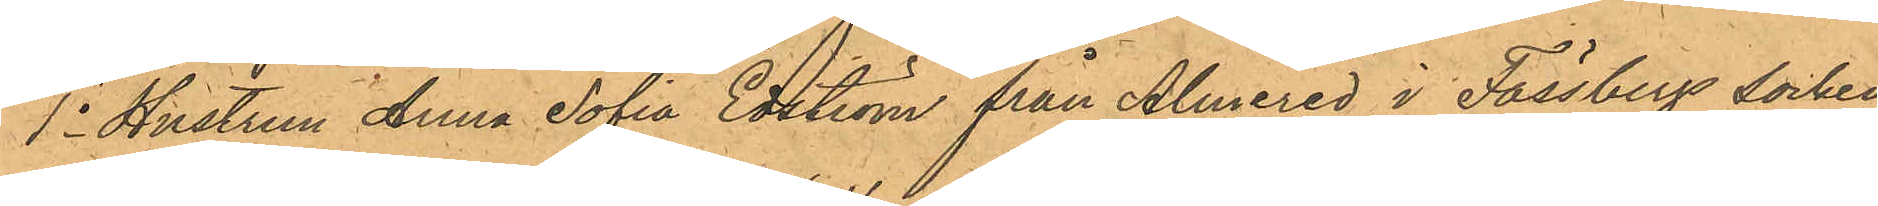1o Hustrun Anna Sofia Edström från Almered i Fässbergs socken,
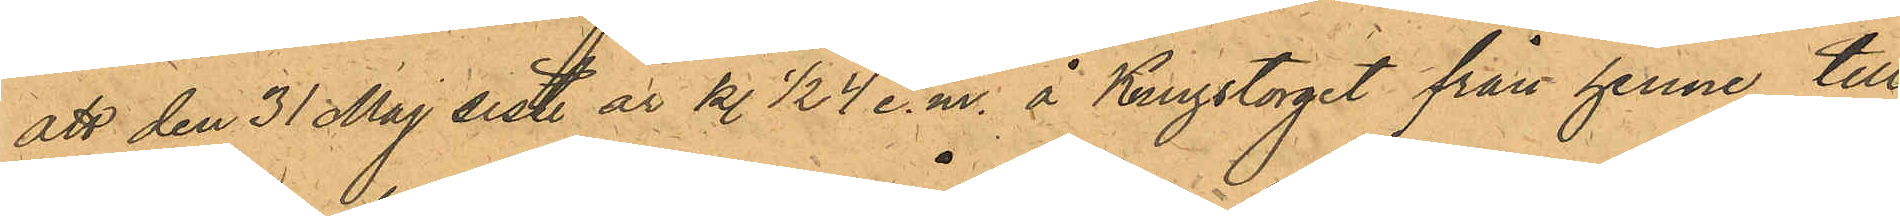att den 31 Maj sist. år kl. 1/2 4 e.m. å Kungstorget från henne till¬
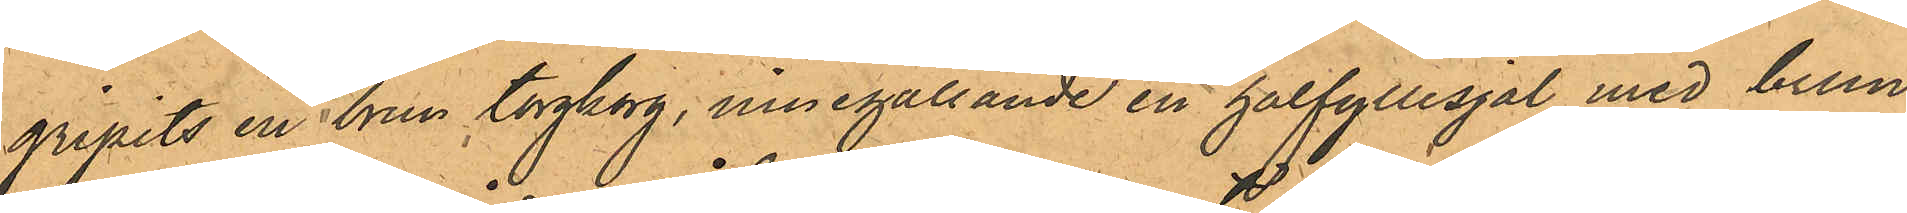gripits en brun torgkorg, innehållande en halfyllesjal med brun
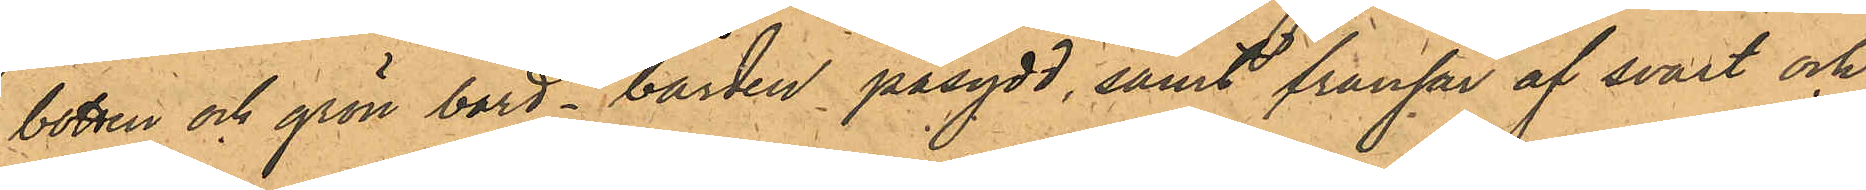botten och grön bård - bården påsydd, samt frånfar af svart och
